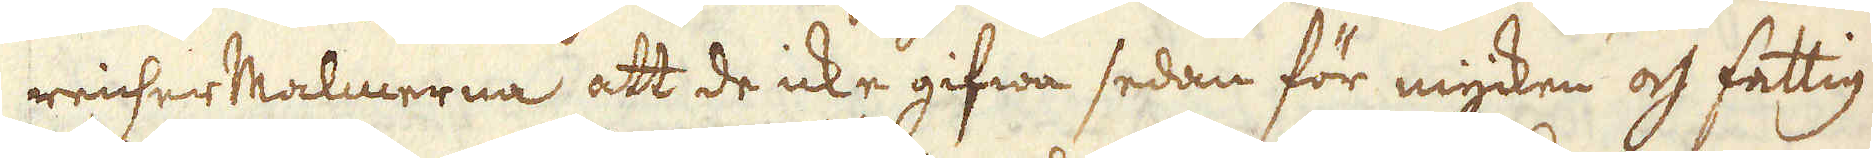reicherMalmerna att de icke gifwa sedan för mycken och fattig
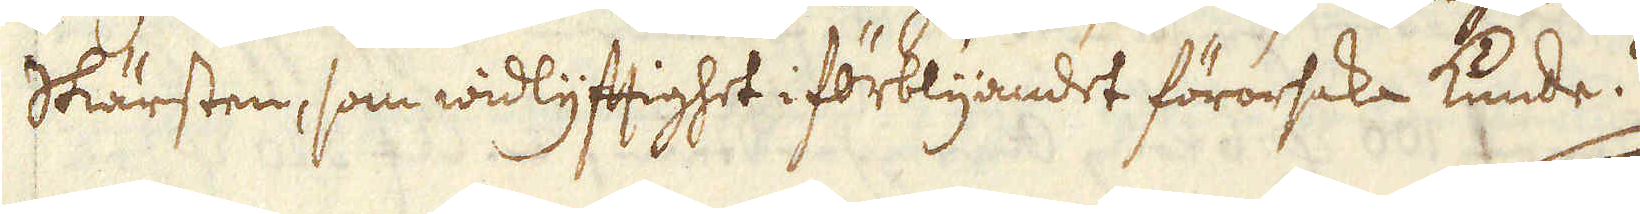skärsten, som widlyftighet i förblijandet förorsaka kunde.
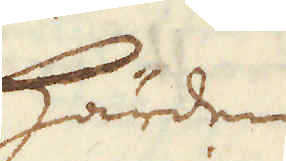Härden
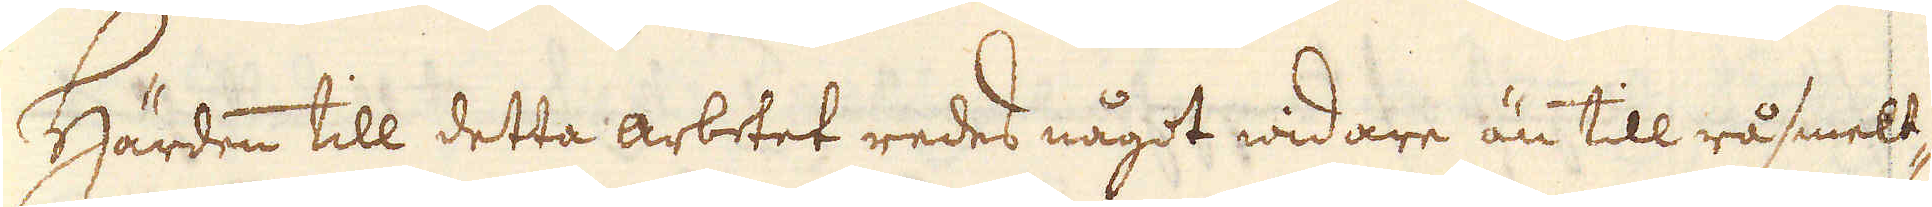Härden till detta arbetet redes något widare än till rålsmelt-
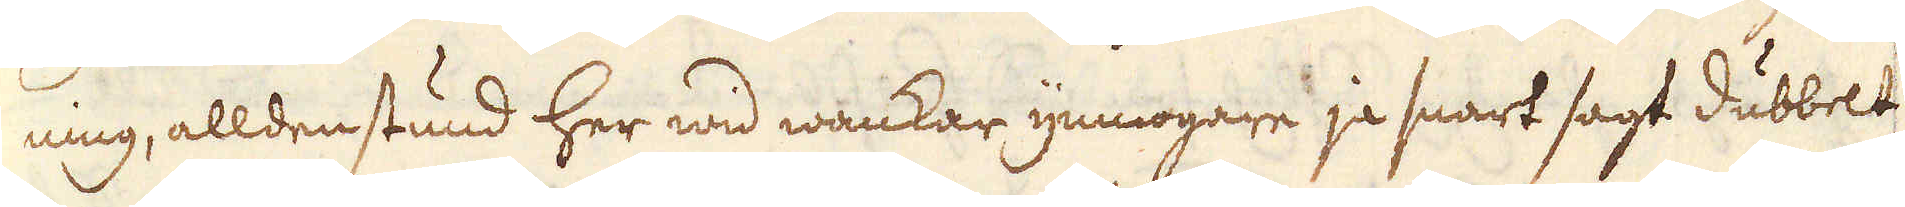ning, alldenstund her wid wankar ymnogare ja snart sagt dubbelt
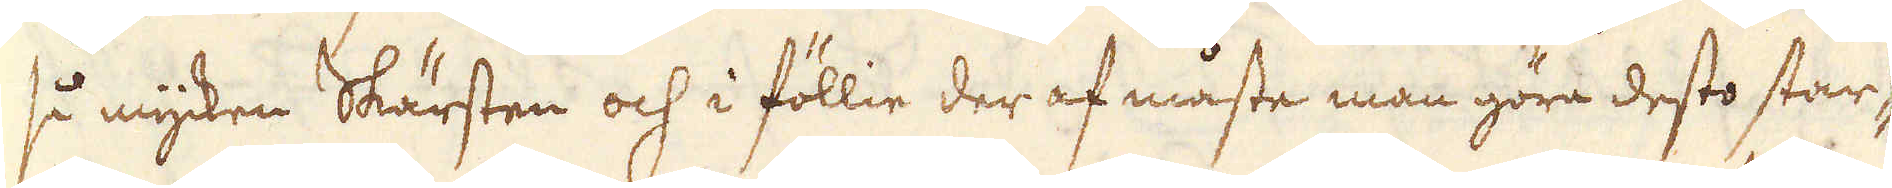så mycken Skärsten och i föllie der af måste man göra desto star-
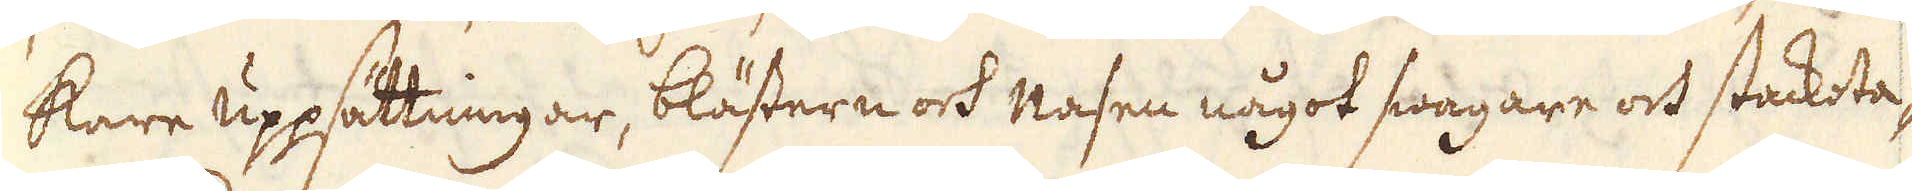kare uppsättningar, blästern och Nasen något swagare och stackota-
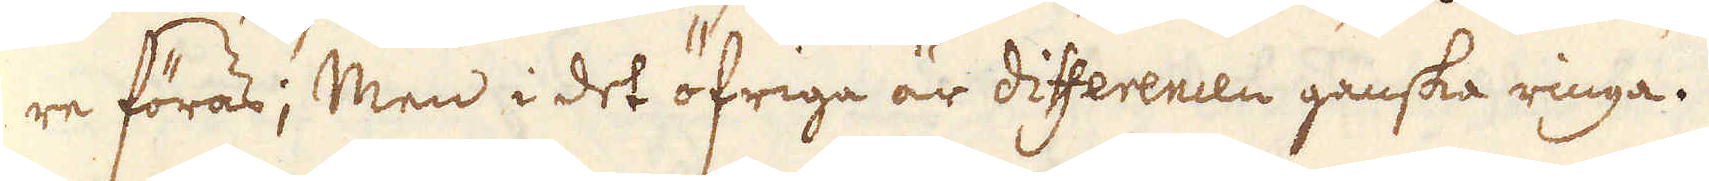re föras; Men i det öfriga är differencen ganska ringa.
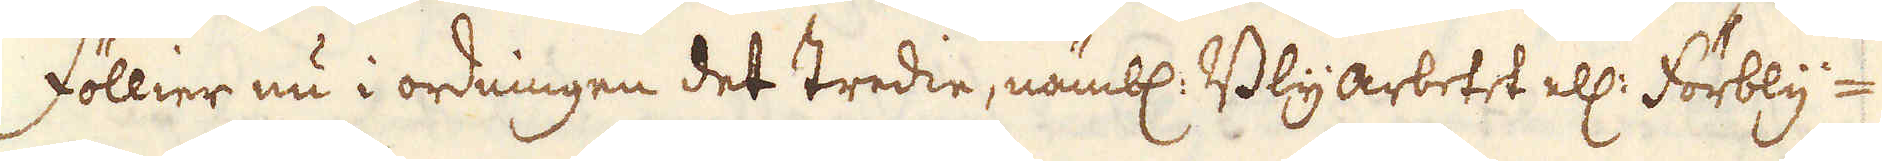Föllier nu i ordningen det tredie, nämbl: Blyarbetet ell: förbly-
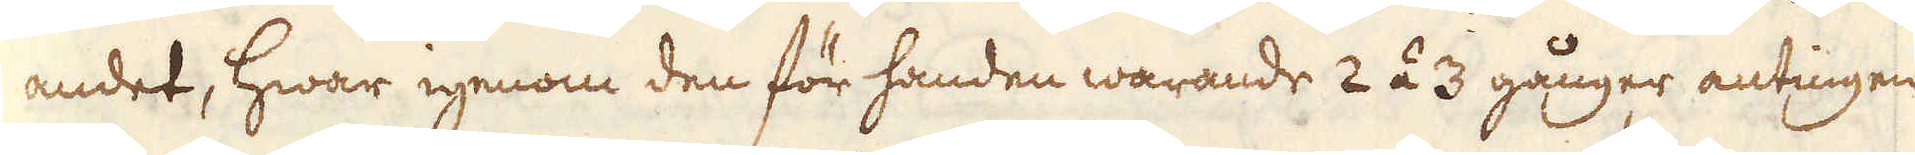andet, hwar igenom den för handen warande 2 á 3 gånger antingen
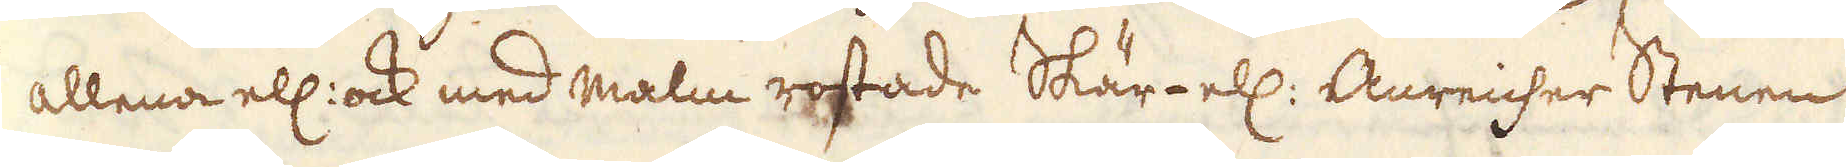allena ell: ock med malm rostade Skär- ell: Anreicher Stenen
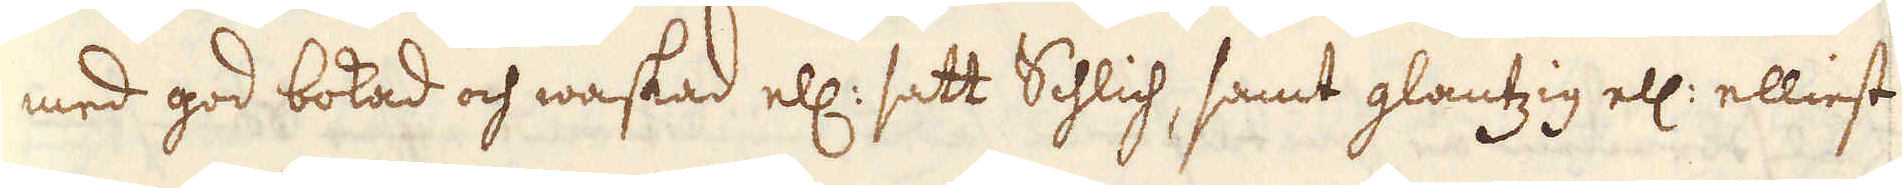med god bokad och waskad ell: satt Schlich, samt glantzig ell: elliest
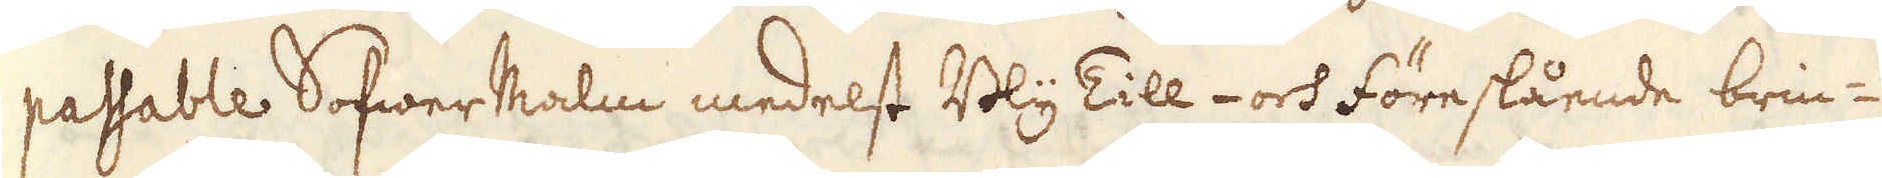passable SofwerMalm medelst Bly Till- och föreslående brin-
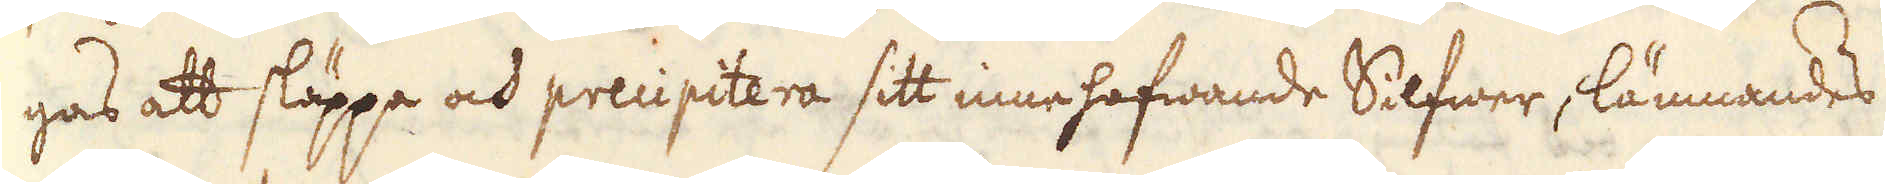gas att släppa och precipitera sitt innehafwande Silfwer, lämnandes
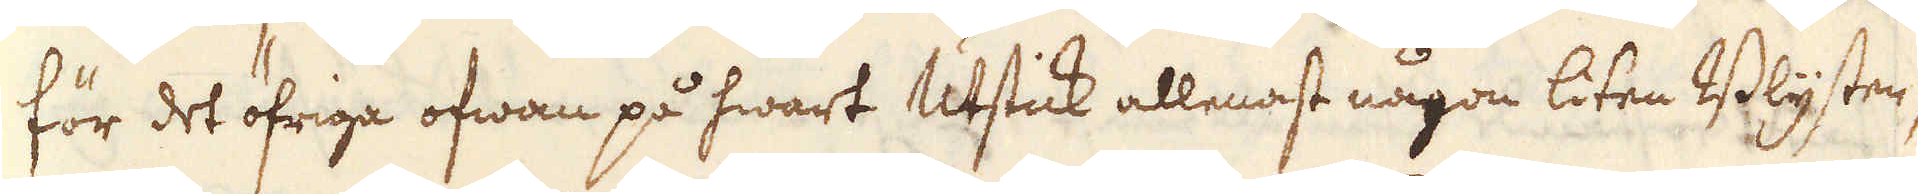för det öfriga ofwan på hwart Utstick allenast någon liten Blyster,
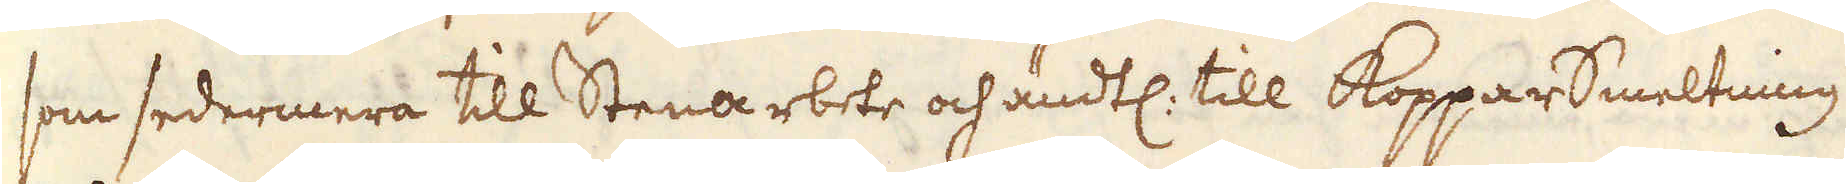som sedermera till Stenarbete och ändtl: till KopparSmeltning
